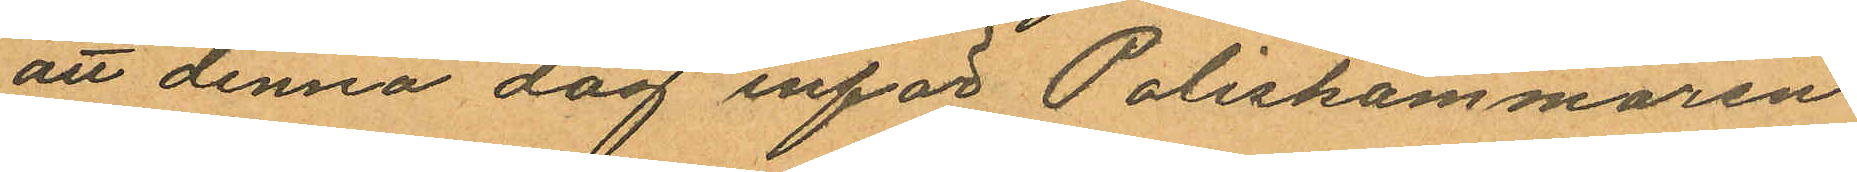att denna dag inför Poliskammaren
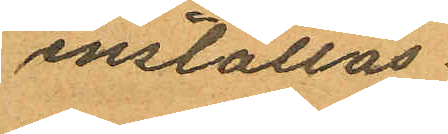inställas.
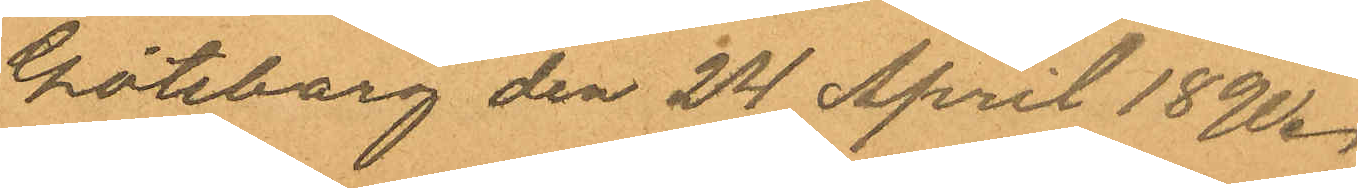Göteborg den 24 April 1890.
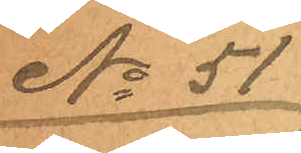No 51
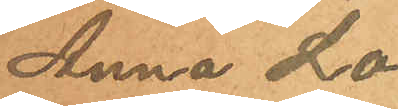Anna Lo¬
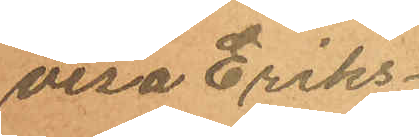visa Eriks¬
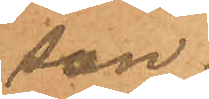son.
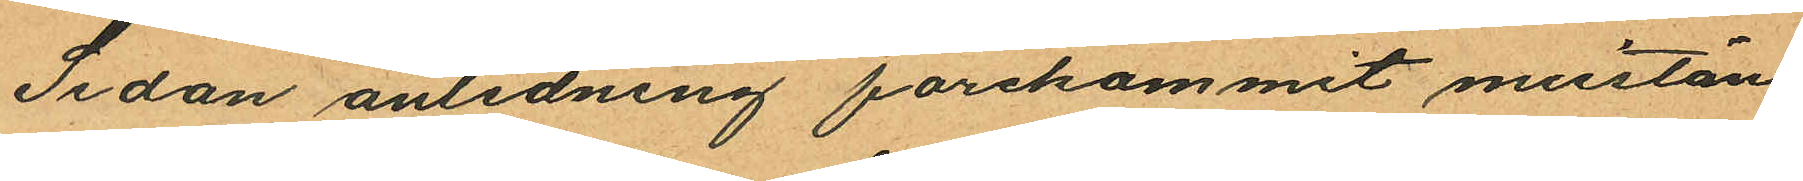Sedan anledning förekommit misstän¬
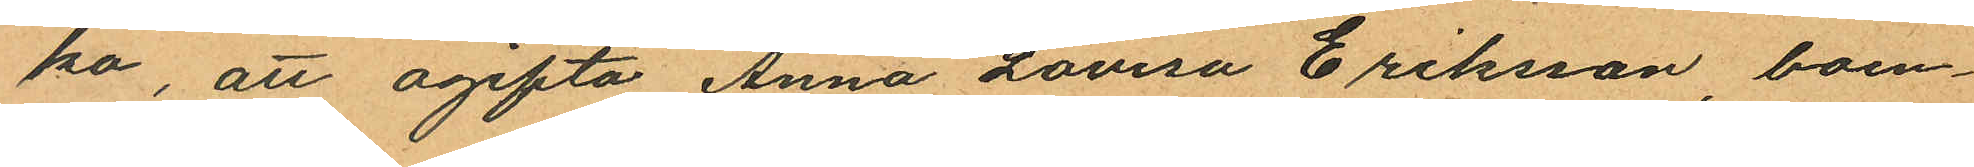ka, att ogifta Anna Lovisa Eriksson, boen¬
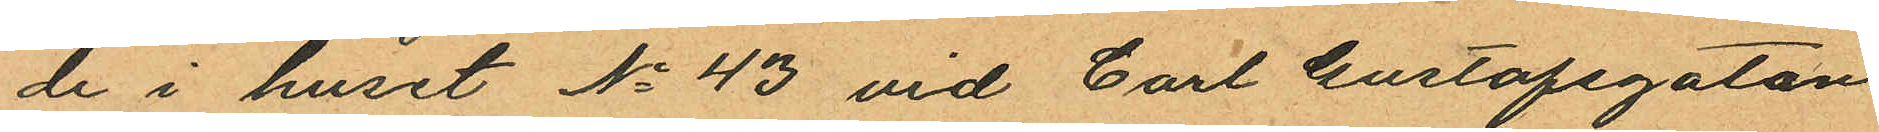de i huset No 43 vid Carl Gustafsgatan
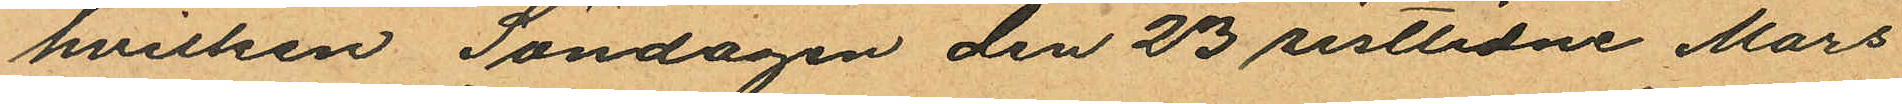hvilken Söndagen den 23 sistlidne Mars
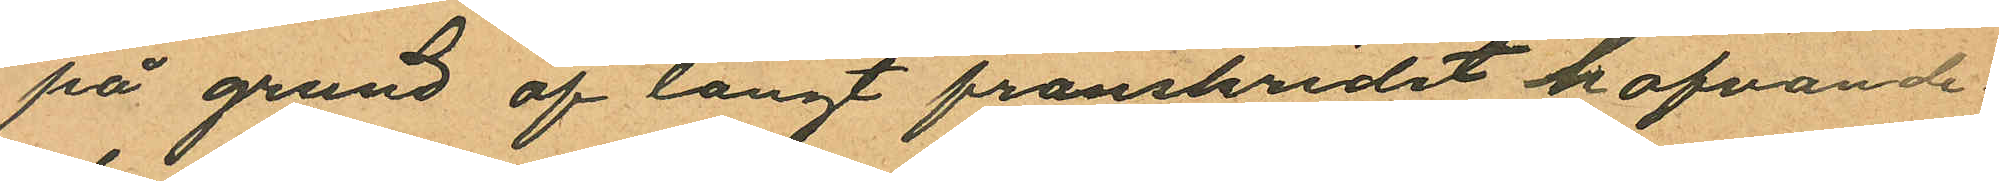på grund af långt framskridet hafvande¬
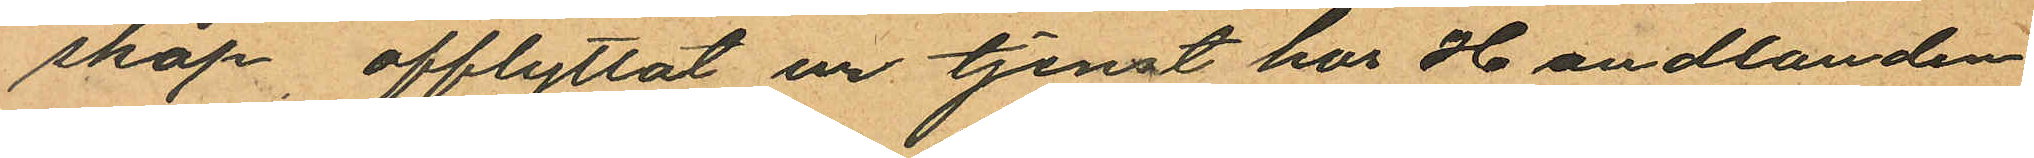skap afflyttat ur tjenst hos Handlanden
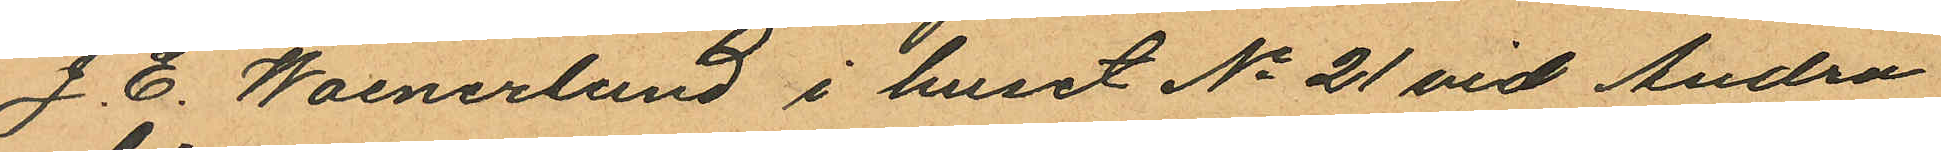J. E. Waenerlund i huset No 21 vid Andra
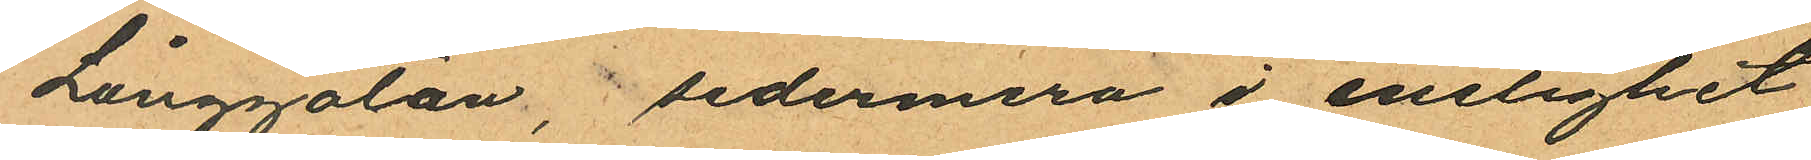Långgatan, sedermera i enelighet
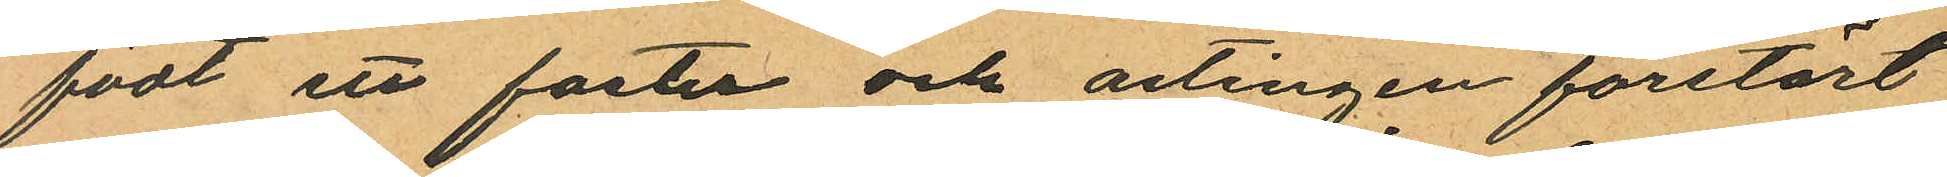födt ett foster och antingen förstört
